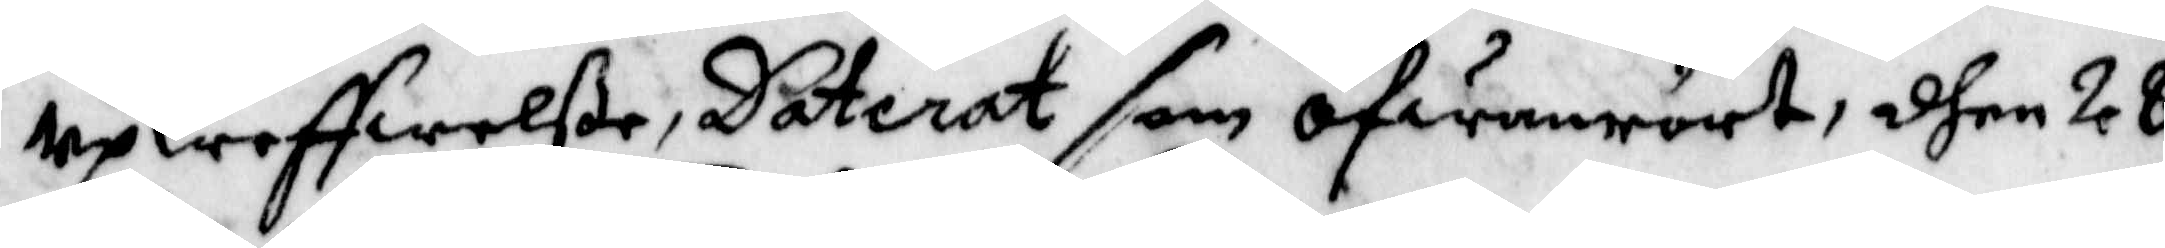upkreffwelße, Daterat som ofwanrört, dhen 28
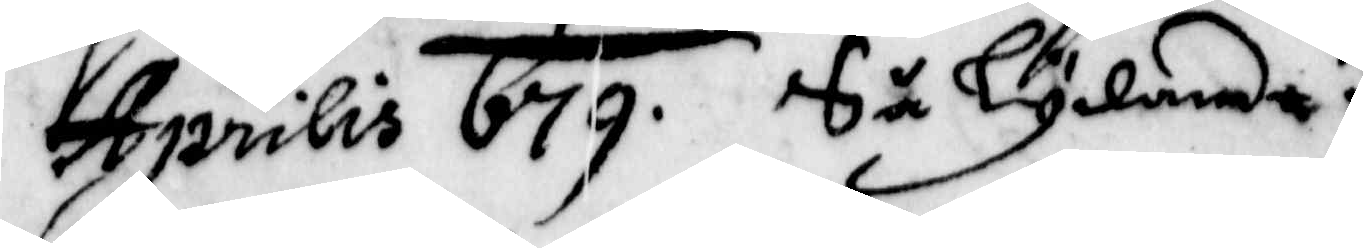Aprilis 679. Så Lydande.
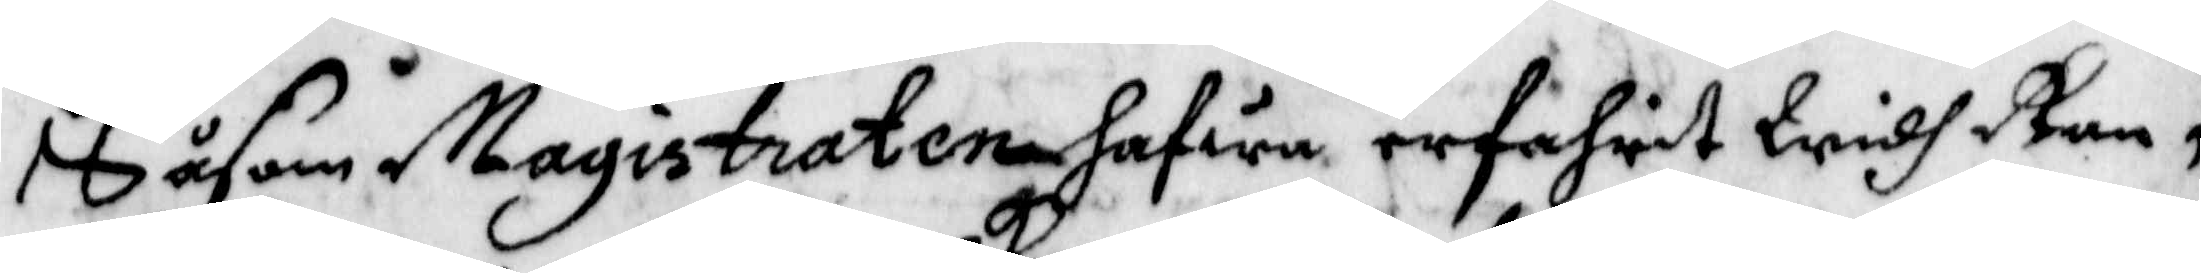Såsom Magistraten hafwa erfahrit Widh Ran¬
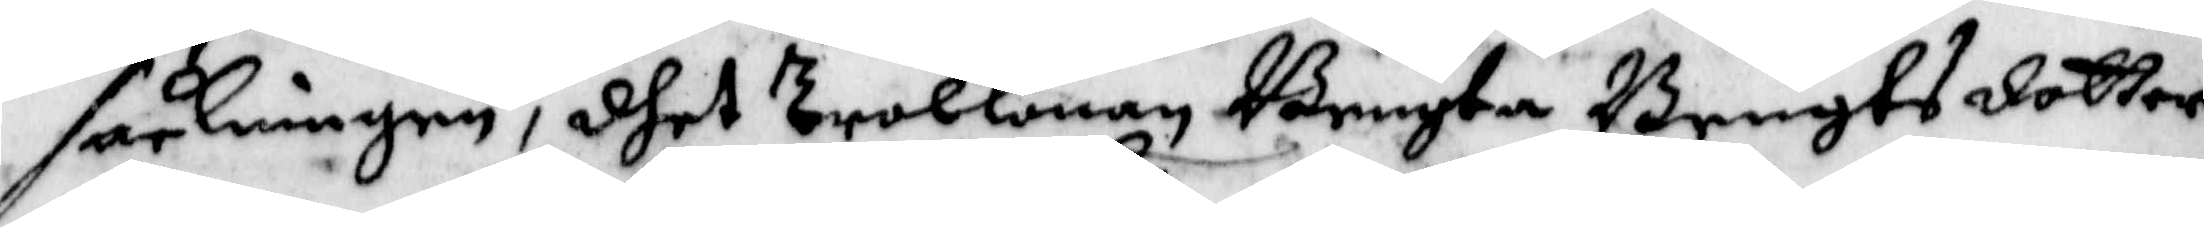sakningen, dhet trolkonan Bengta Bengts dotter
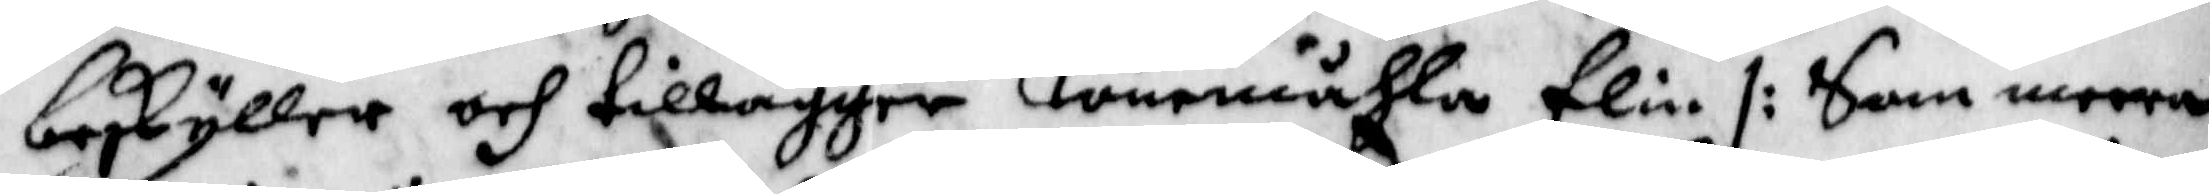beskyller och tillägger Lömemåhla Elin /: Som meera
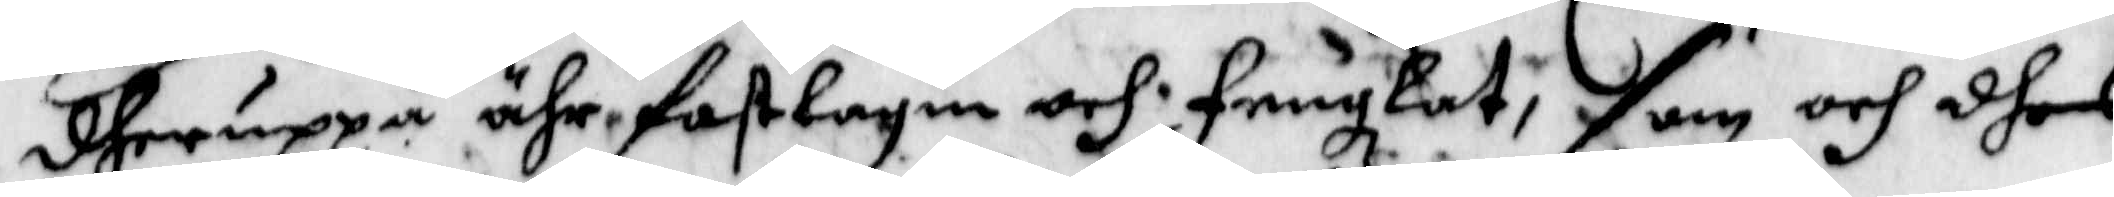dheruppå ähr fastlagin och Fruzkat, som och dhes
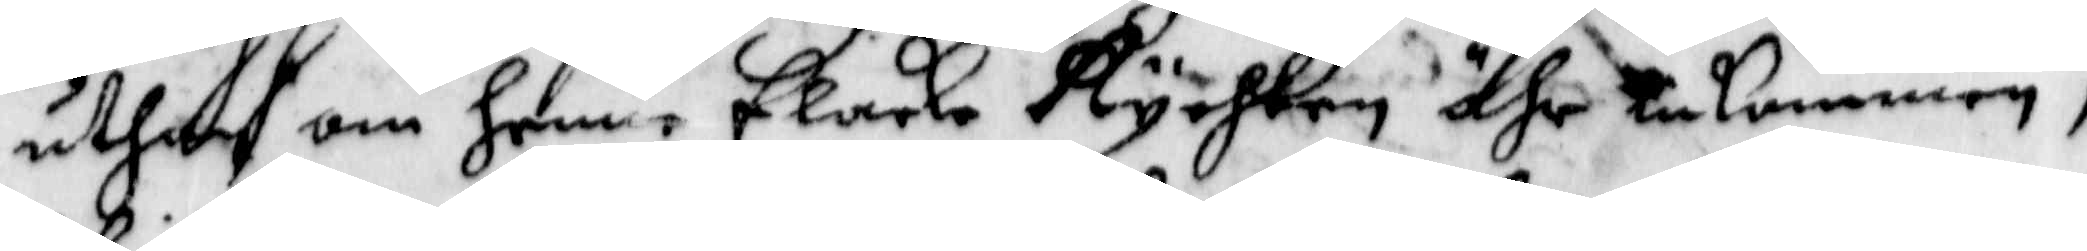uthaf om henne Elaka Rychten ähr inkommen,
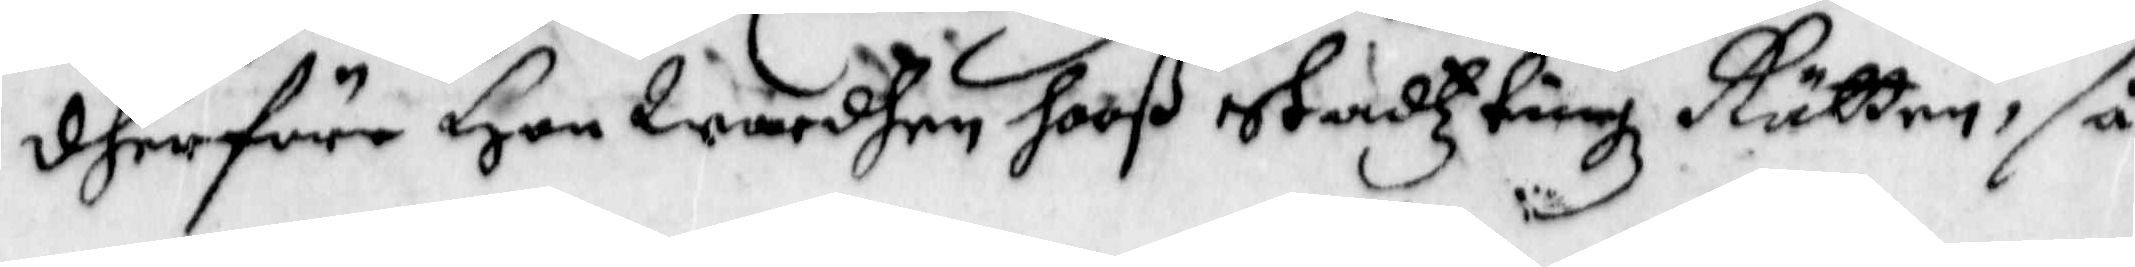dherföre Hon Warden hooß stadztingz Rätten, så
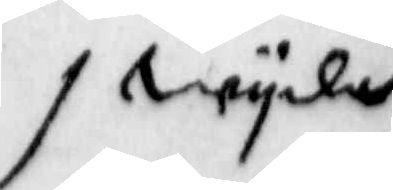wyda
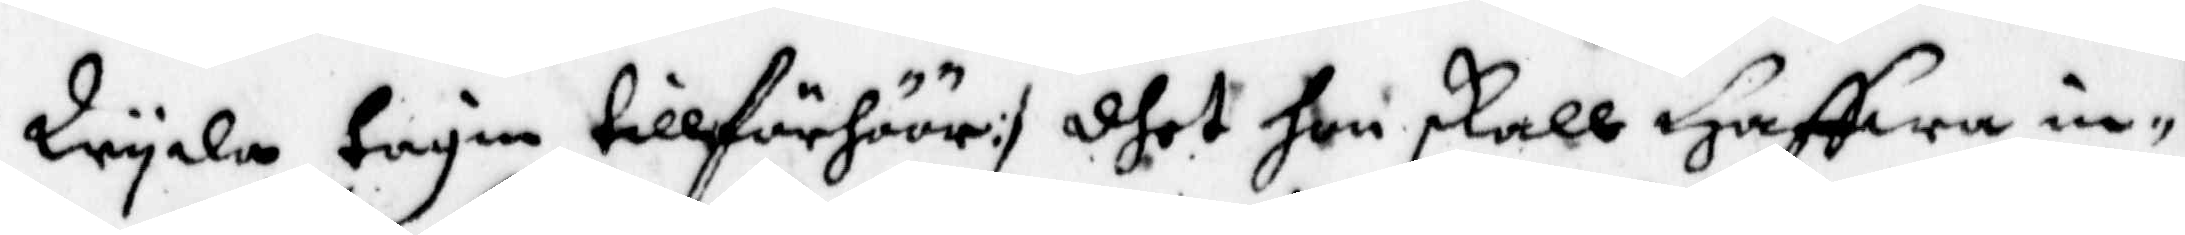Wyda tagin tillFörhöör :/ dhet hon skall Haffwa in¬
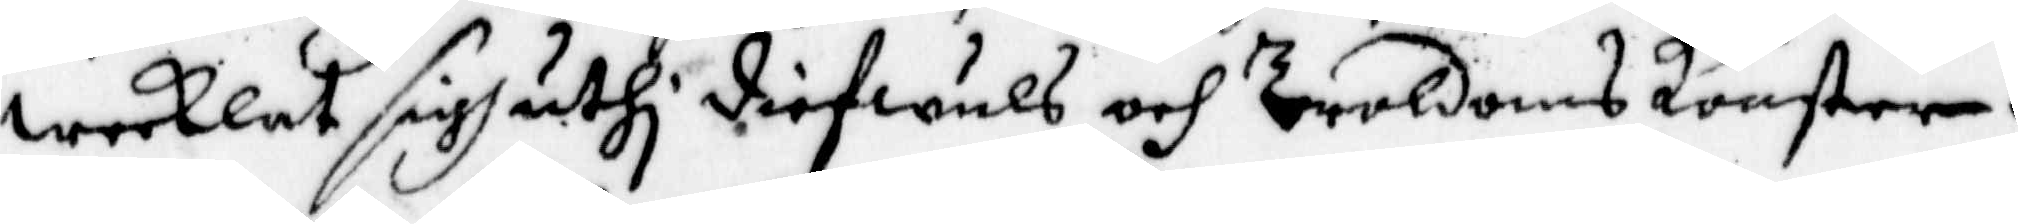wecklat sigh uthi diefwuls och Troldoms Konster.
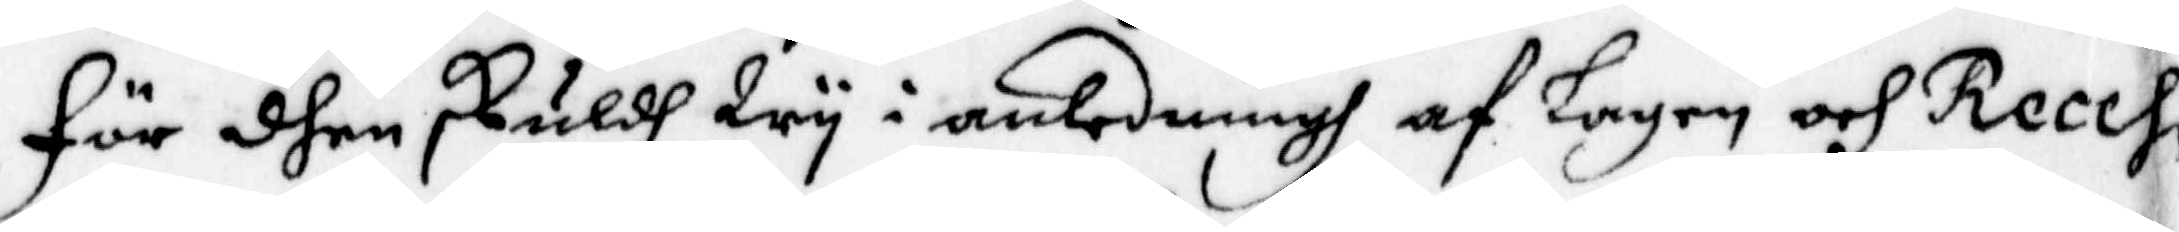För dhen skuldh Wy i anledningh af Lagen och Reces¬
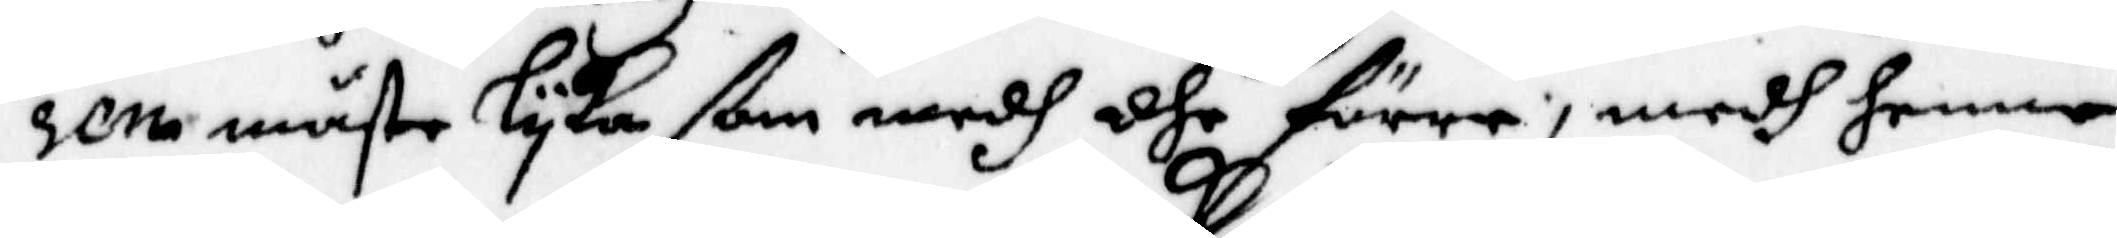sen måste Lyka som medh dhe förre, medh henne
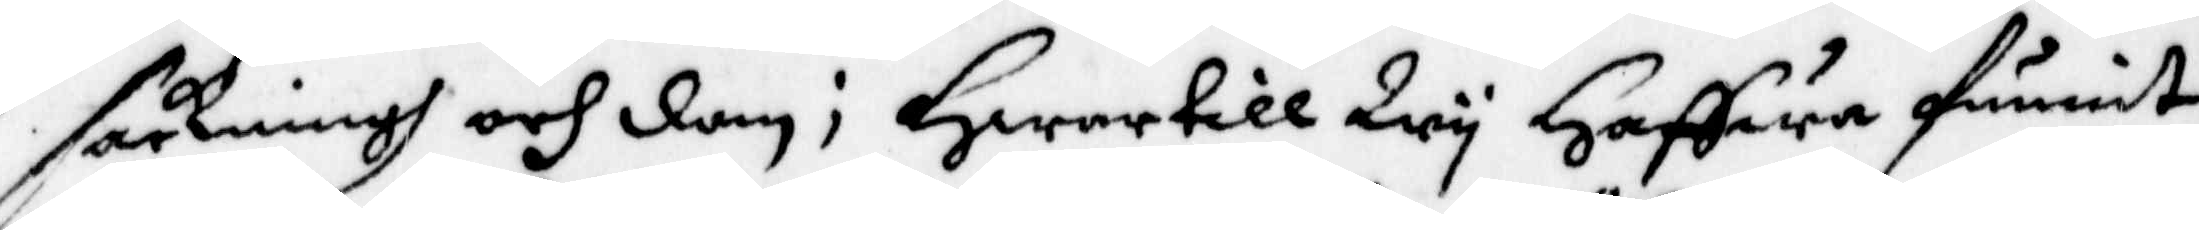sackningh och dom; Hwartill Wy Haffwa funnit
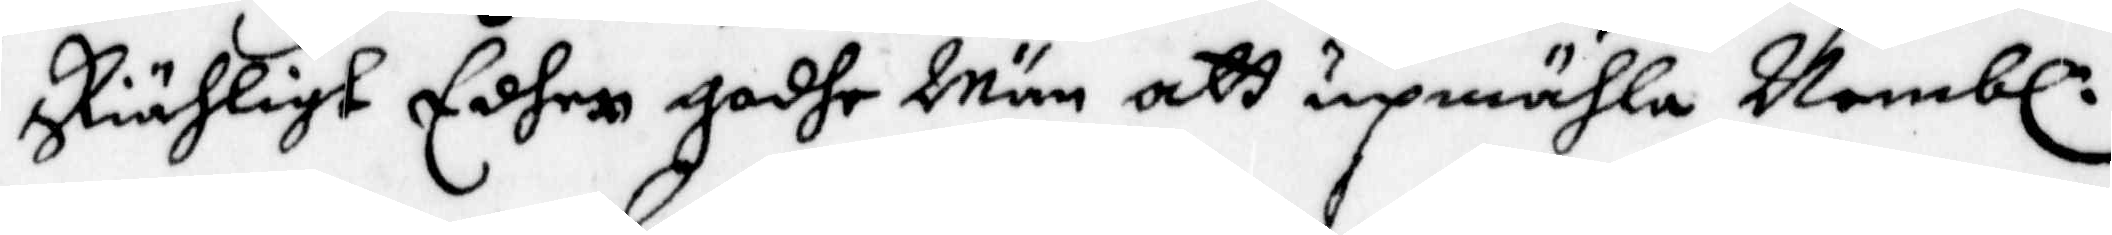skiäligt Edher godhe Män att upmähla Nembl:
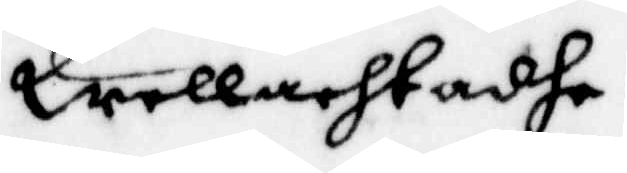Wellachtadhe
